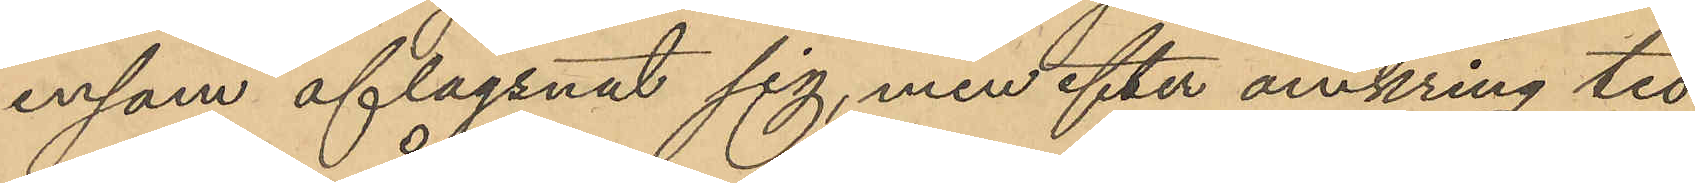ensam aflägsnat sig, men efter omkring tio
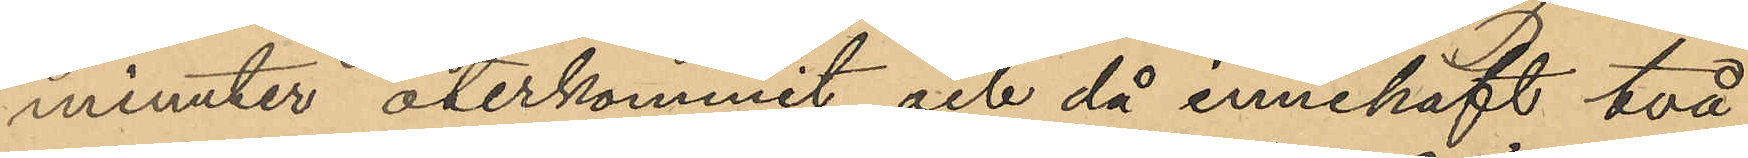minuter återkommit och då innehaft två
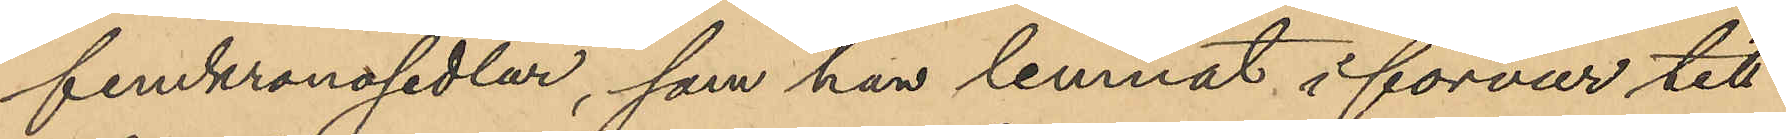femkronosedlar, som han lemnat i förvar till
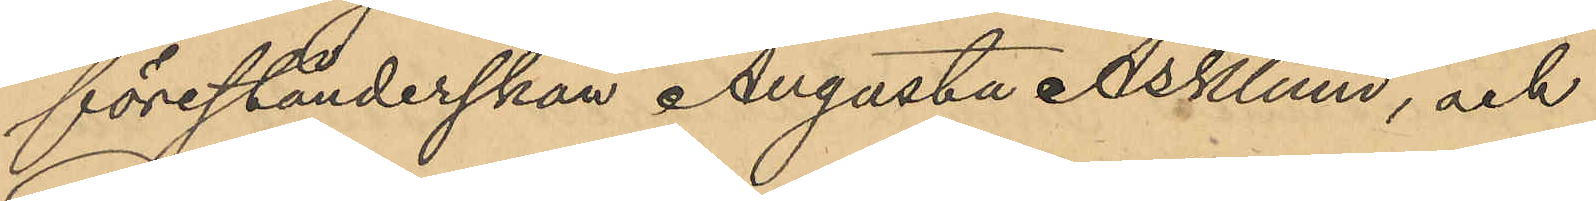förestånderskan Augusta Asklum, och
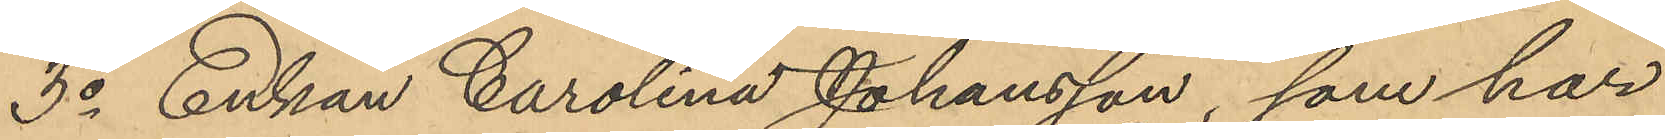3o Enkan Carolina Johansson, som har
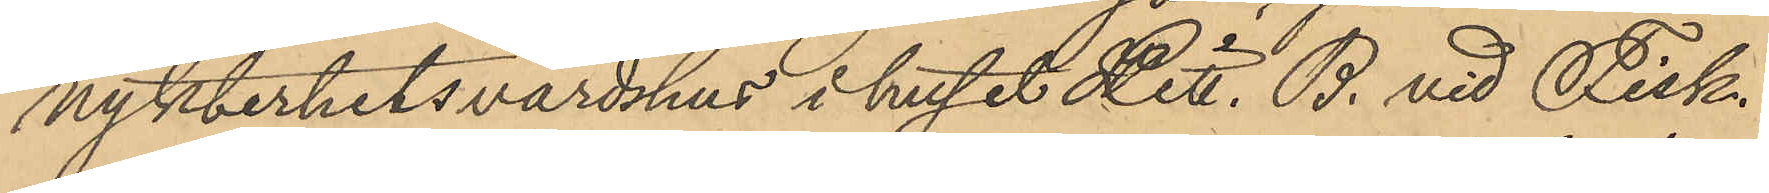nykterhetsvärdshus i huset Litt. B. vid Fisk¬
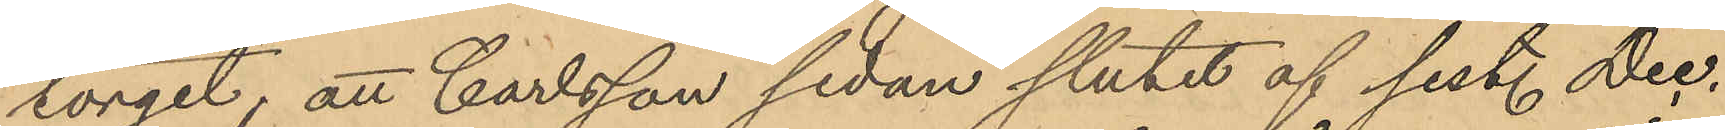torget; att Carlsson sedan slutet af sist. Dec.
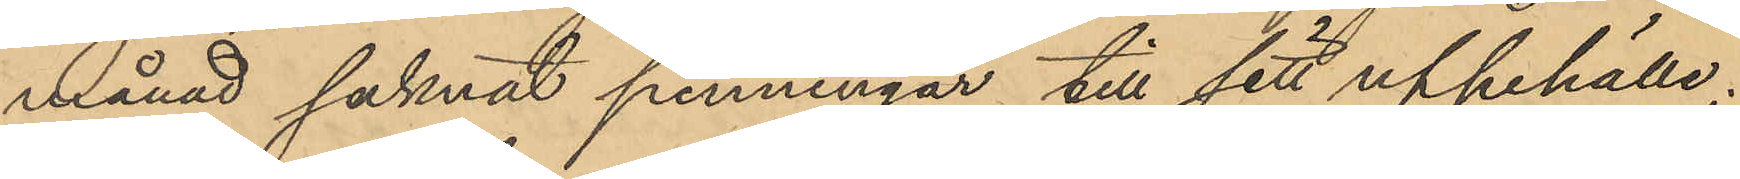månad saknat penningar till sitt uppehälle;
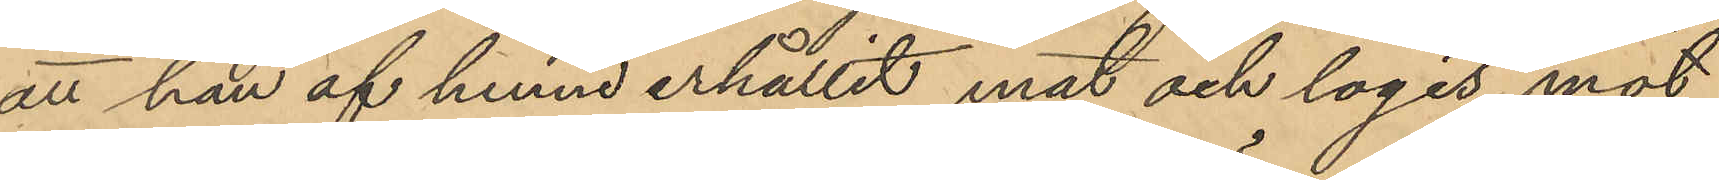att han af henne erhållit mat och logis mot
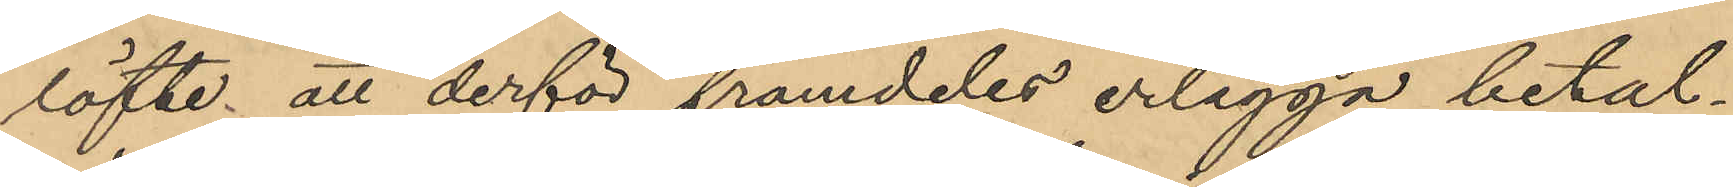löfte att derför framdeles erlägga betal¬
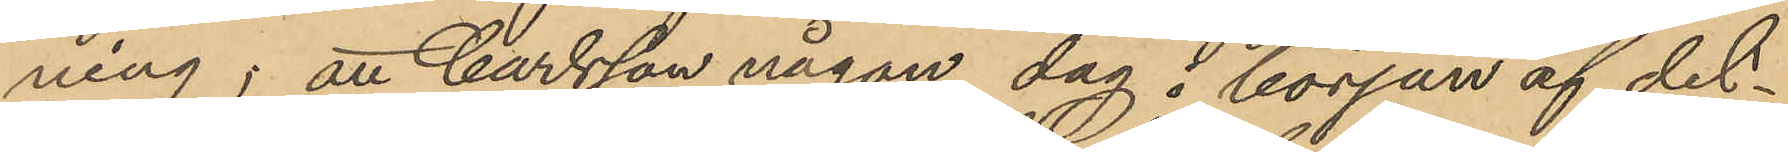ning; att Carlsson någon dag i början af det¬
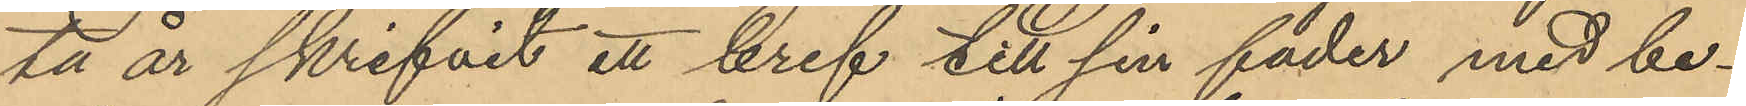ta år skrifvit ett bref till sin fader med be¬
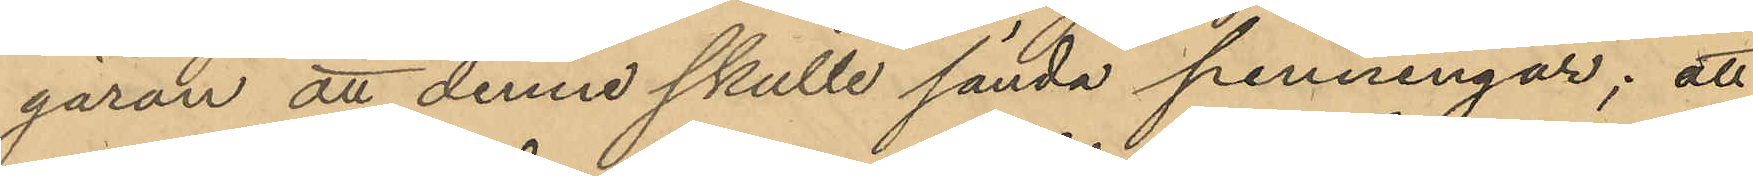gäran att denne skulle sända penningar; att
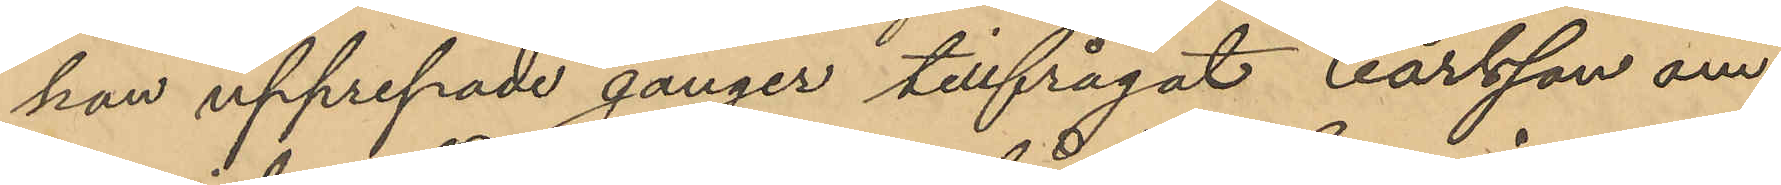hon upprepade gånger tillfrågat Carlsson om
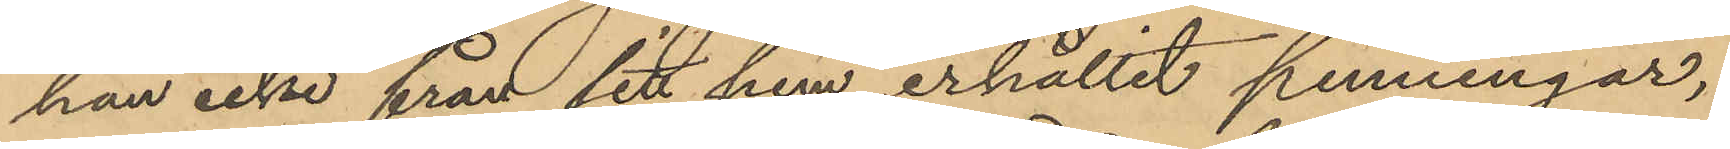han icke från sitt hem erhållit penningar,
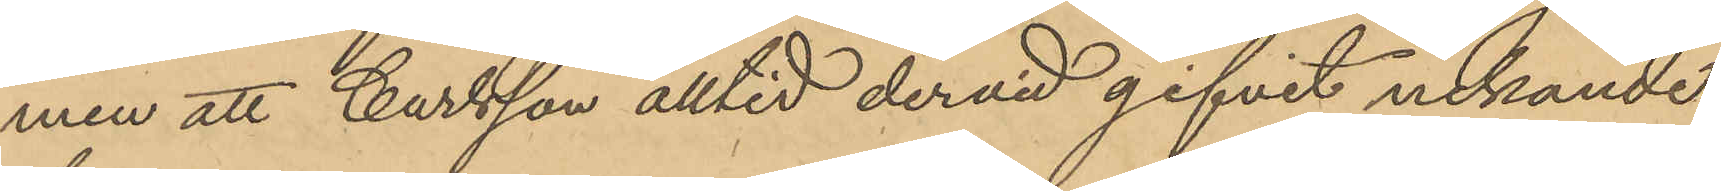men att Carlsson alltid dervid gifvit nekande
